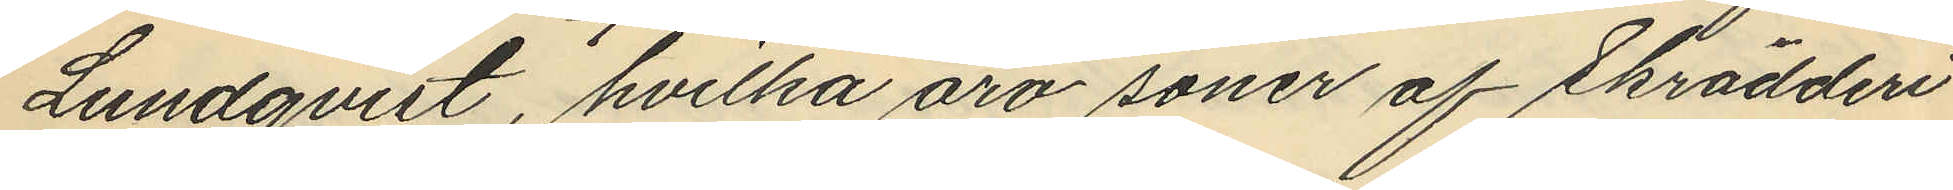Lundqvist, hvilka äro soner af Skrädderi
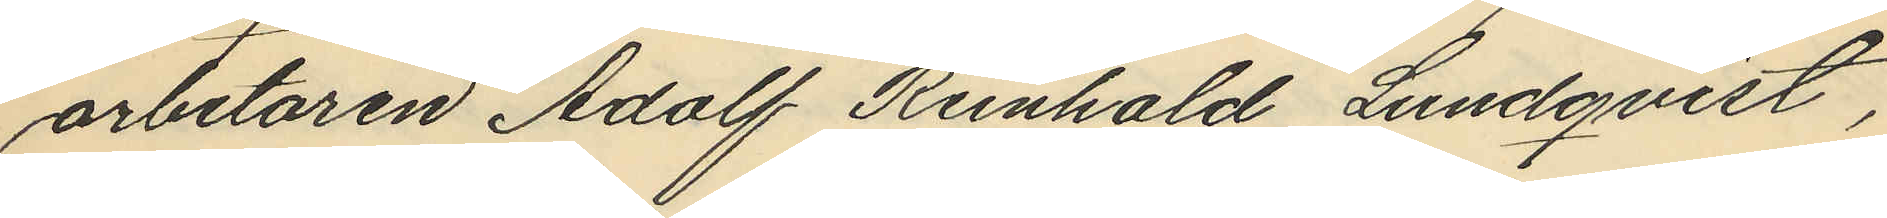arbetaren Adolf Reinhold Lundqvist,
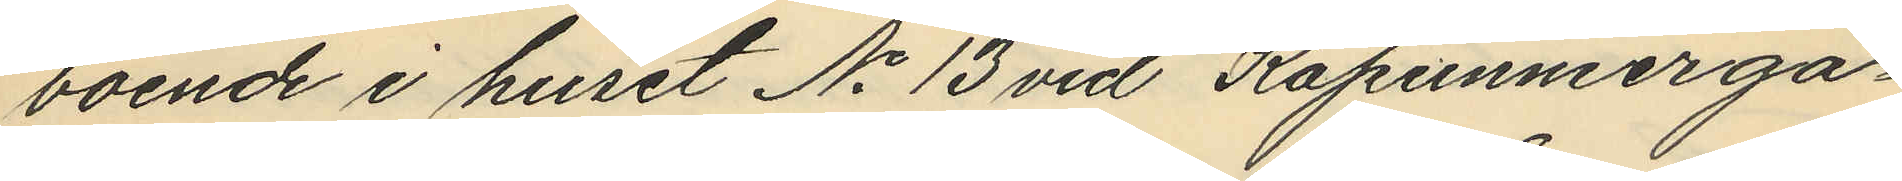boende i huset No 13 vid Kapunierga¬
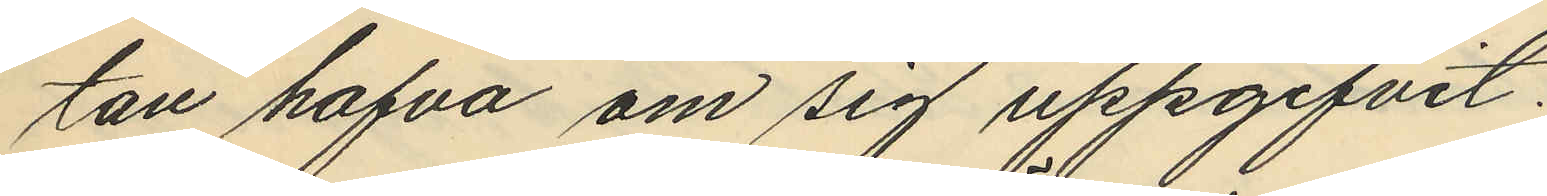tan hafva om sig uppgifvit.
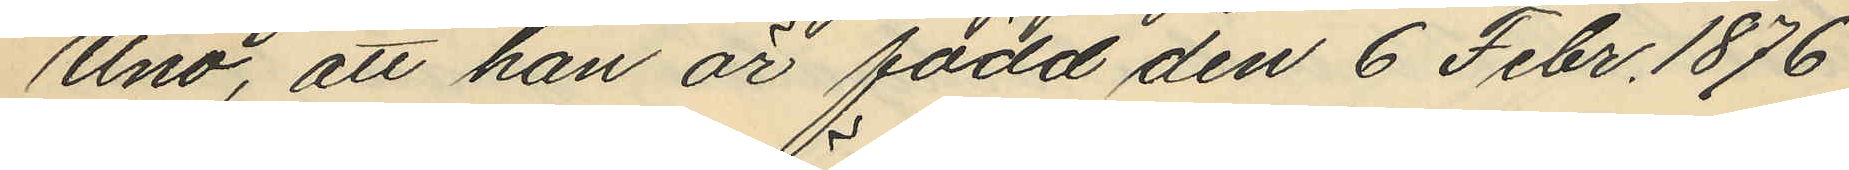Uno, att han är född den 6 Febr. 1876
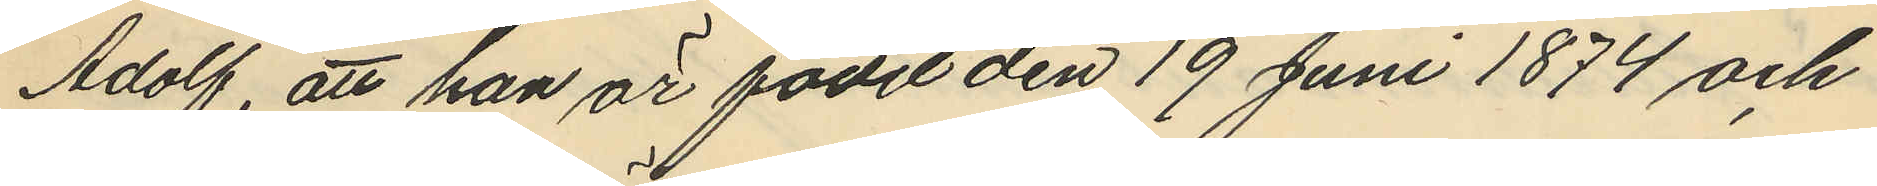Adolf, att han är född den 19 Juni 1874 och
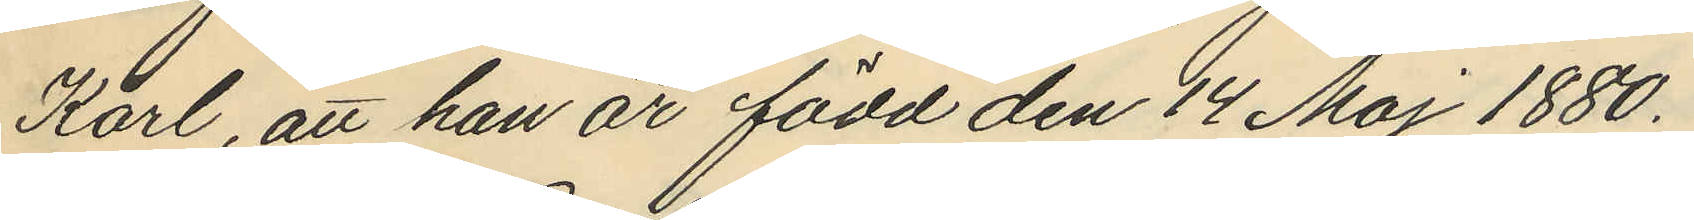Karl, att han är född den 14 Maj 1880.
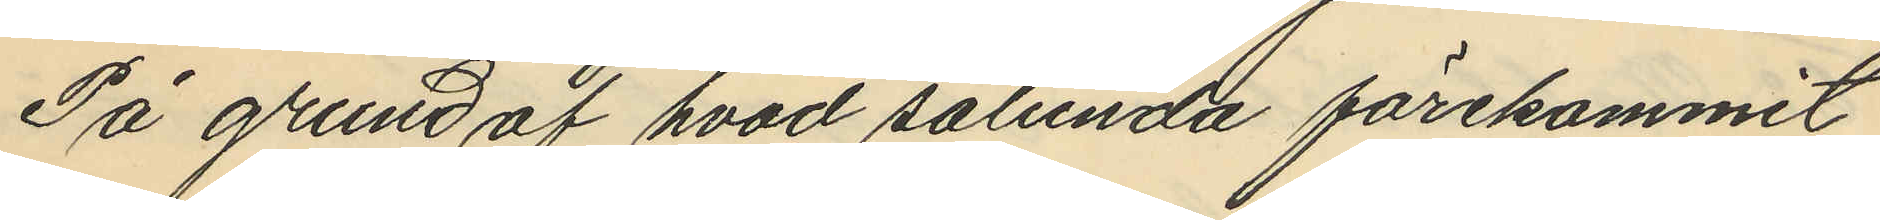På grund af hvad sålunda förekommit
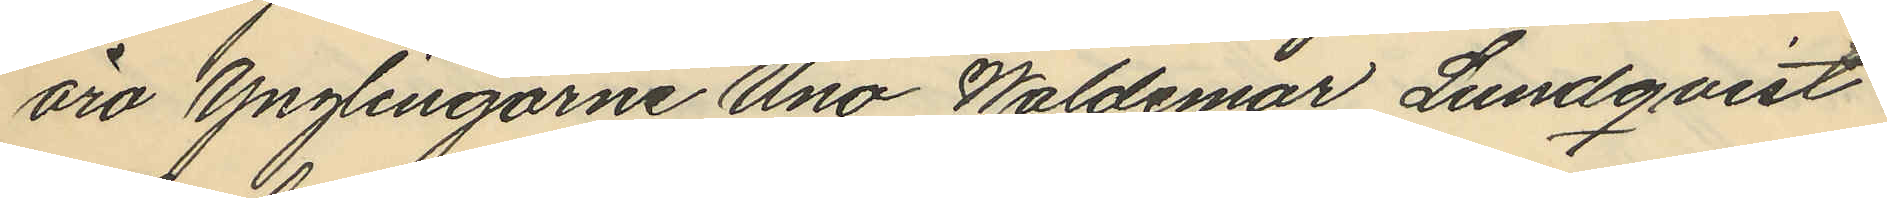äro ynglingarne Uno Waldemar Lundqvist
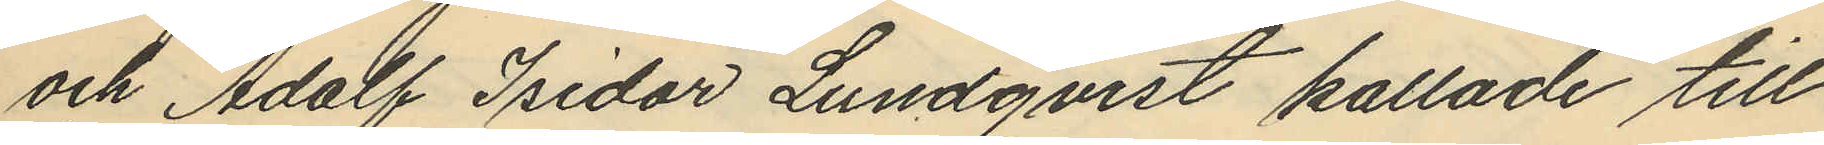och Adolf Isidor Lundqvist kallade till
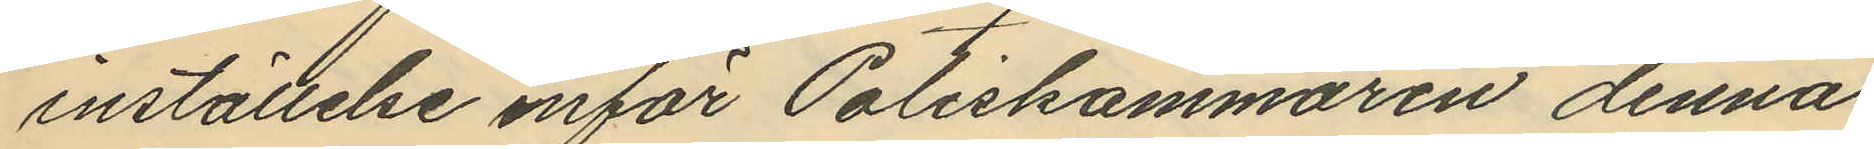inställelse inför Poliskammaren denna
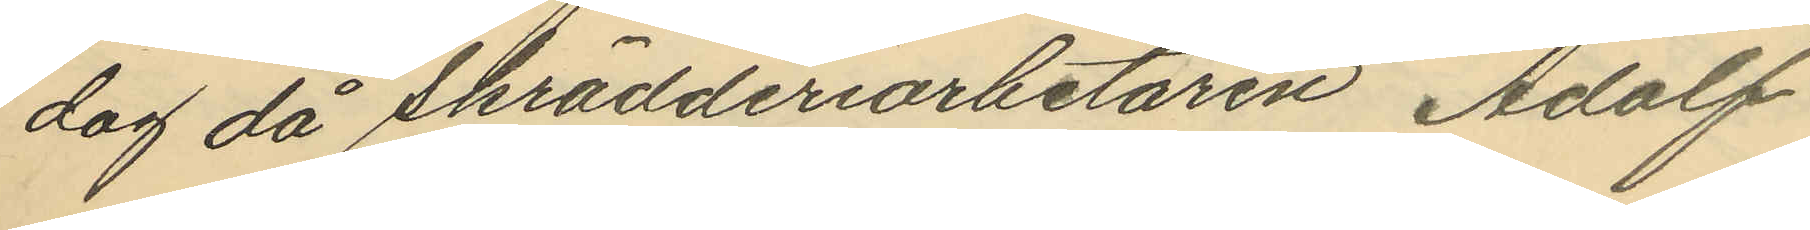dag då Skrädderiarbetaren Adolf
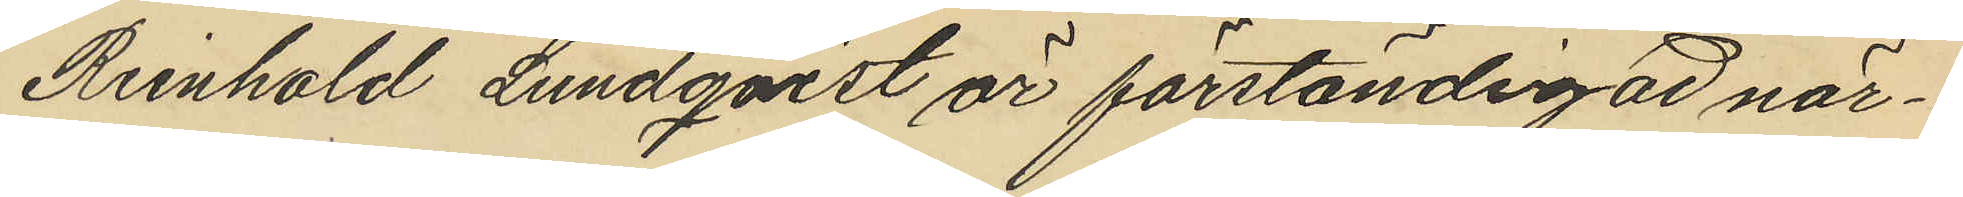Reinhold Lundqvist är förständigad när¬
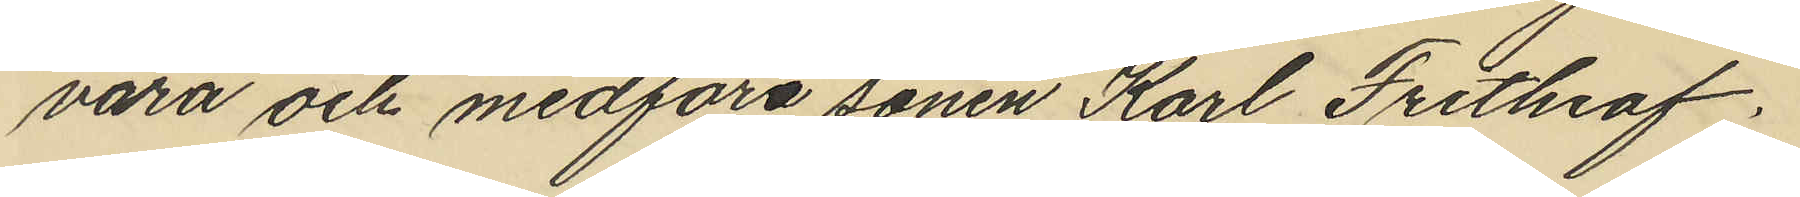vara och medföra sonen Karl Frithiof.
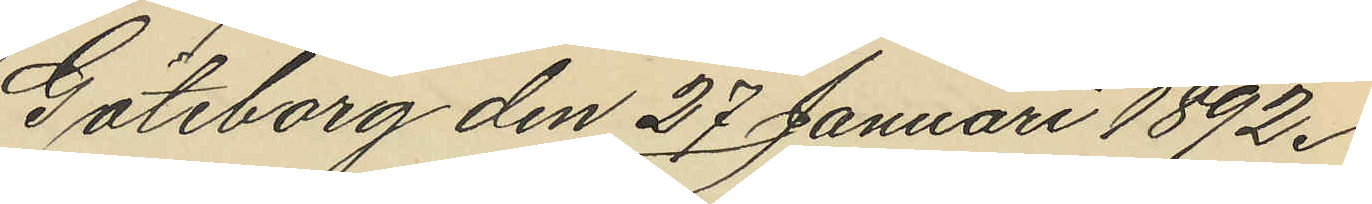Göteborg den 27 Januari 1892.
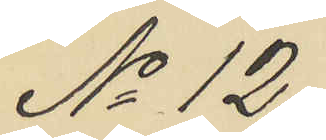No 12.
